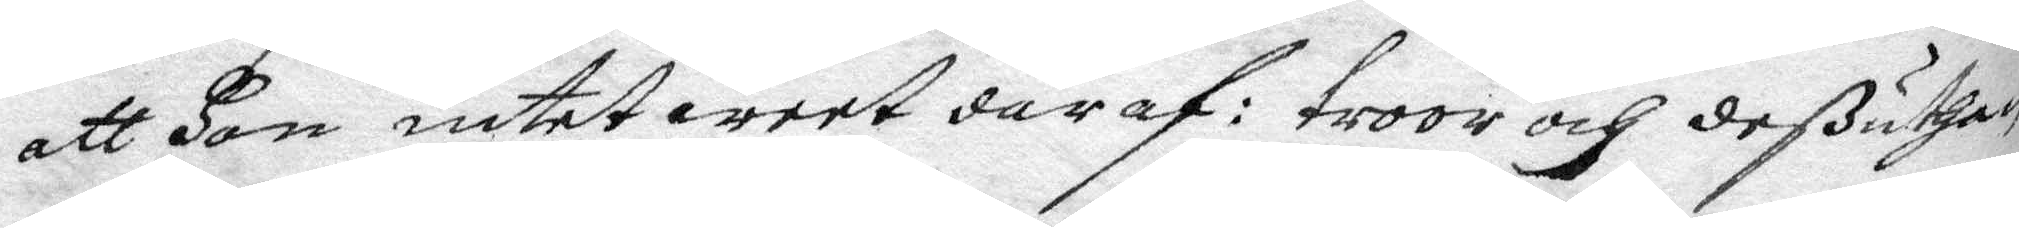att Hon intet weet däraf: troor och deßuthan
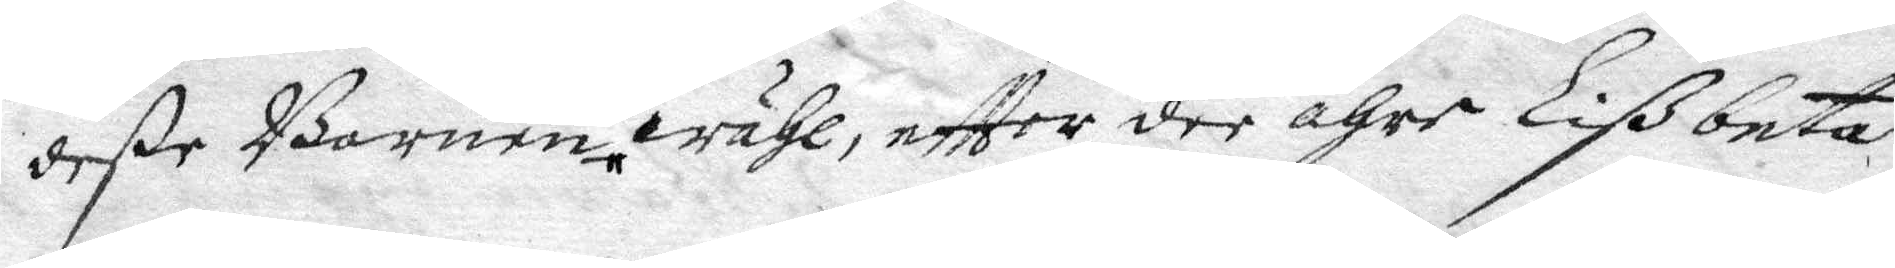deße Barnen intet wähl, eftter dee ähre Lißbeta
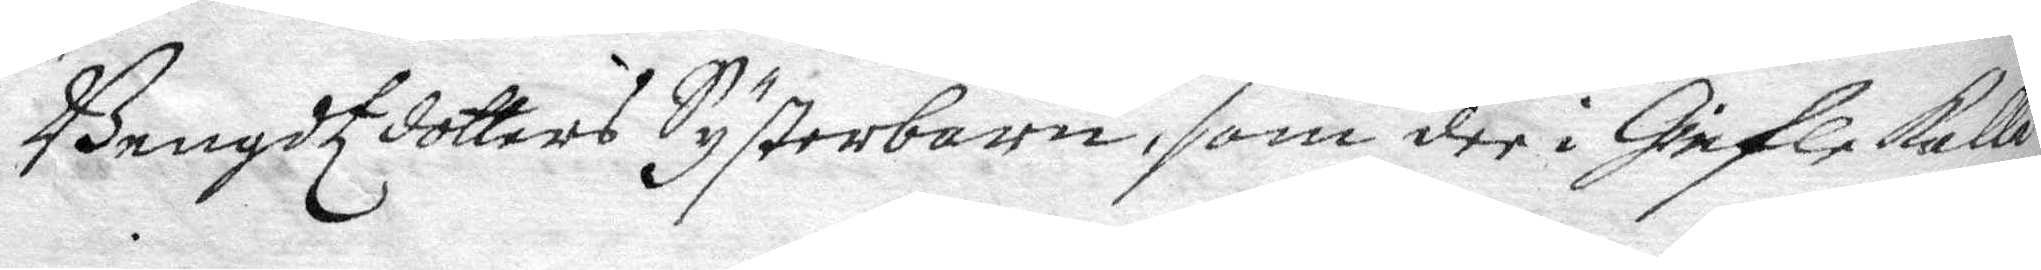Bengdtzdotters Systerbarn, som dee i Giefle kalla
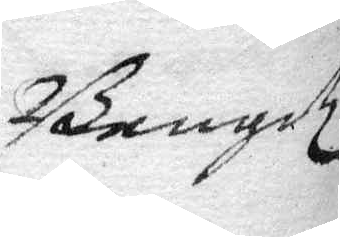Bengdz
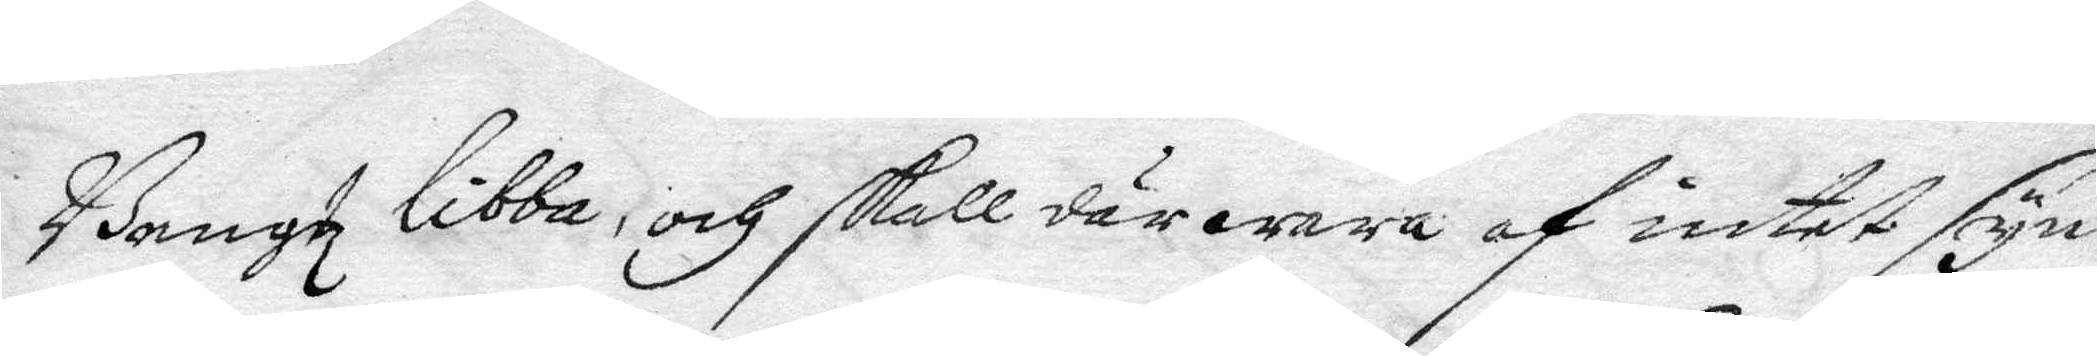Bengtz libba, och skall där wara af intet syn¬
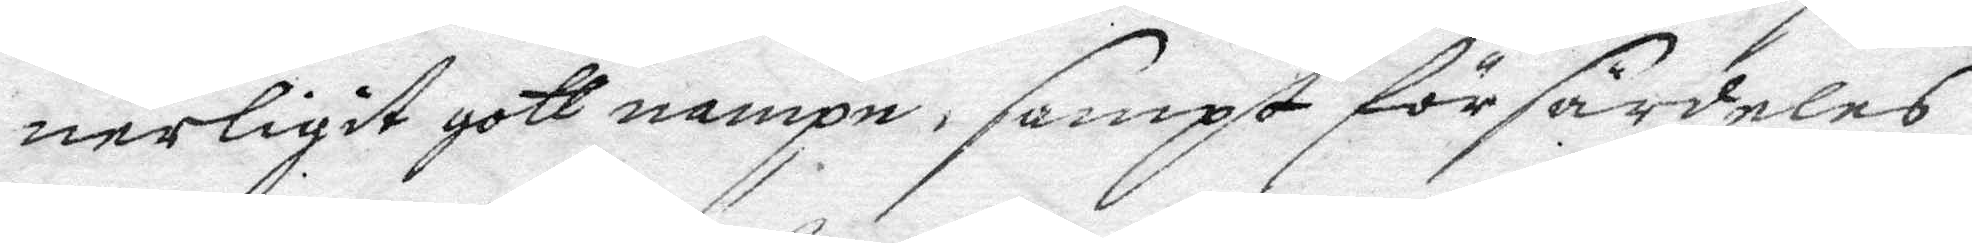nerligit gott nampn, sampt för särdeles
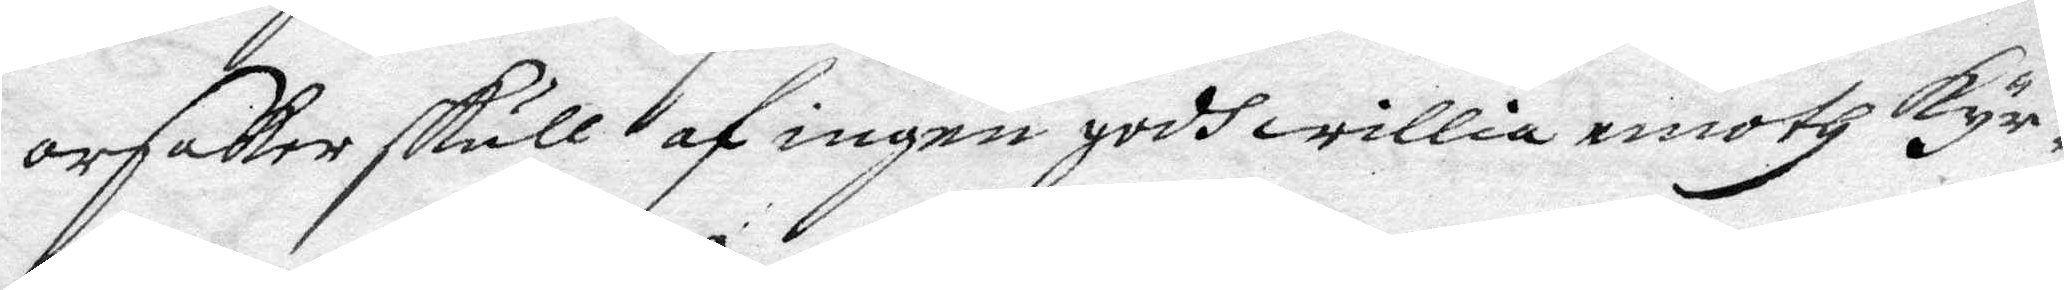orsaker skull af ingen godh willia emoth kyr¬
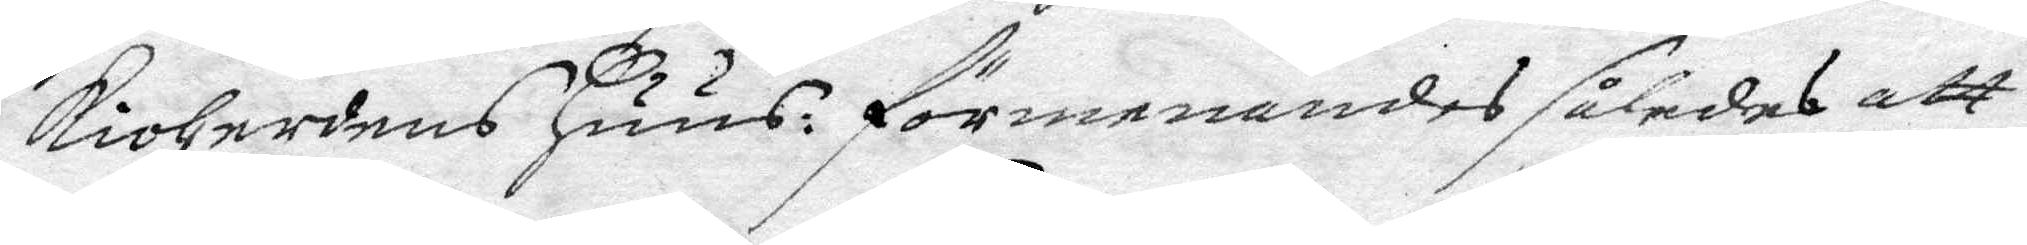kioHerdens Huus: förmenandes således att
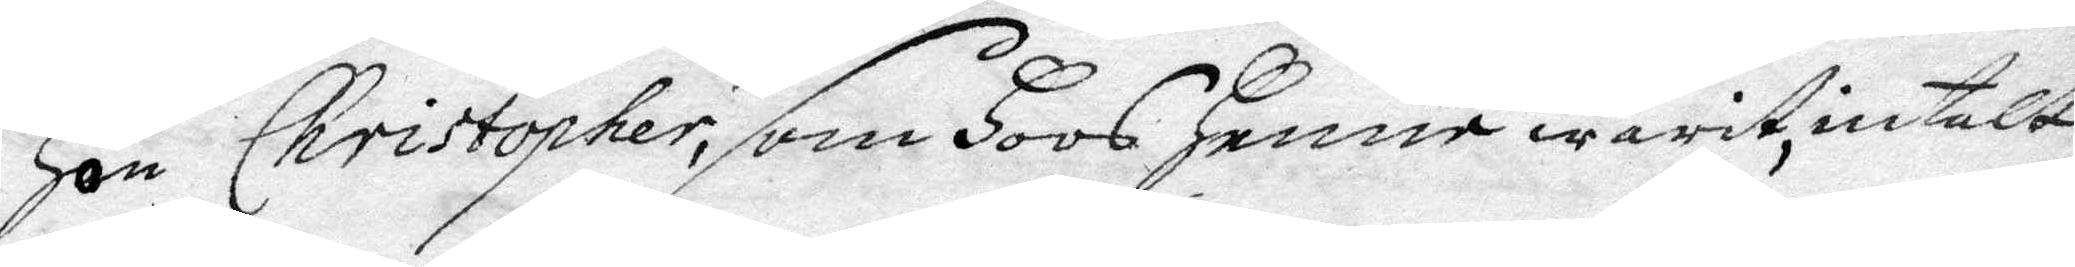Hon Christopher, som Hoos Henne warit, intalt
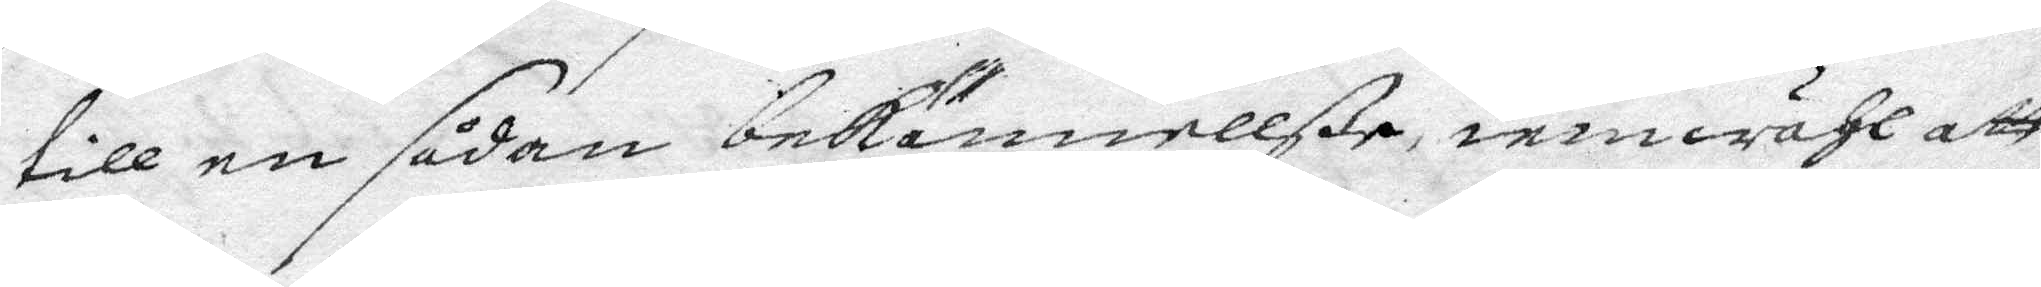till en sådan bekännellße, iemwähl att
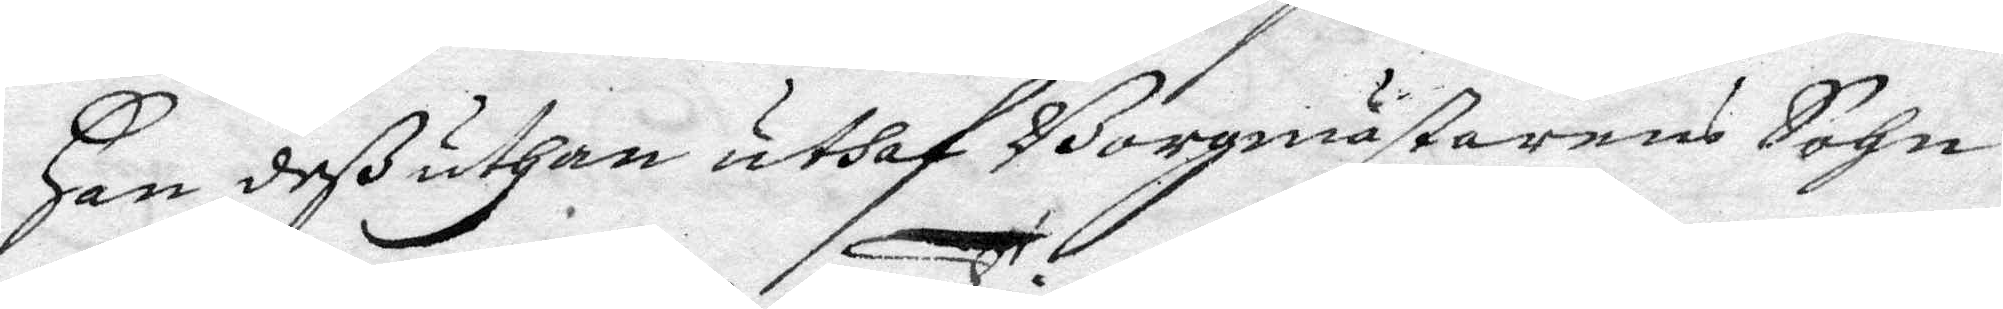Han deß uthan uthaf Borgmästarens Sohn
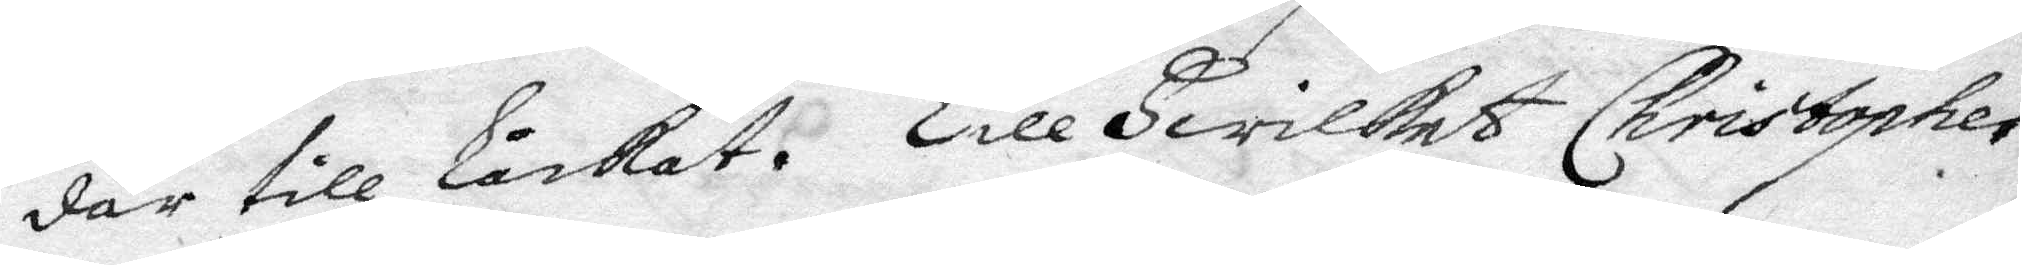där till Låckat. Till Hwilket Christopher
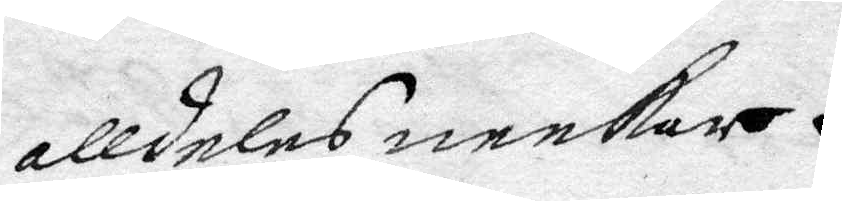alldeles neekar.
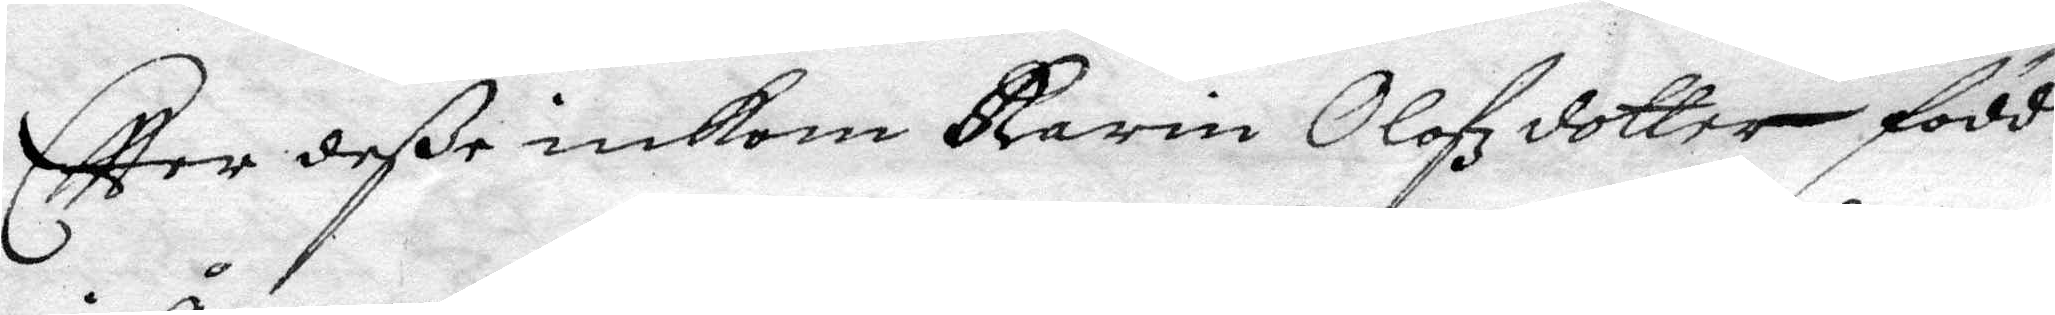Eftter deße inkom Karin Olofzdotter född
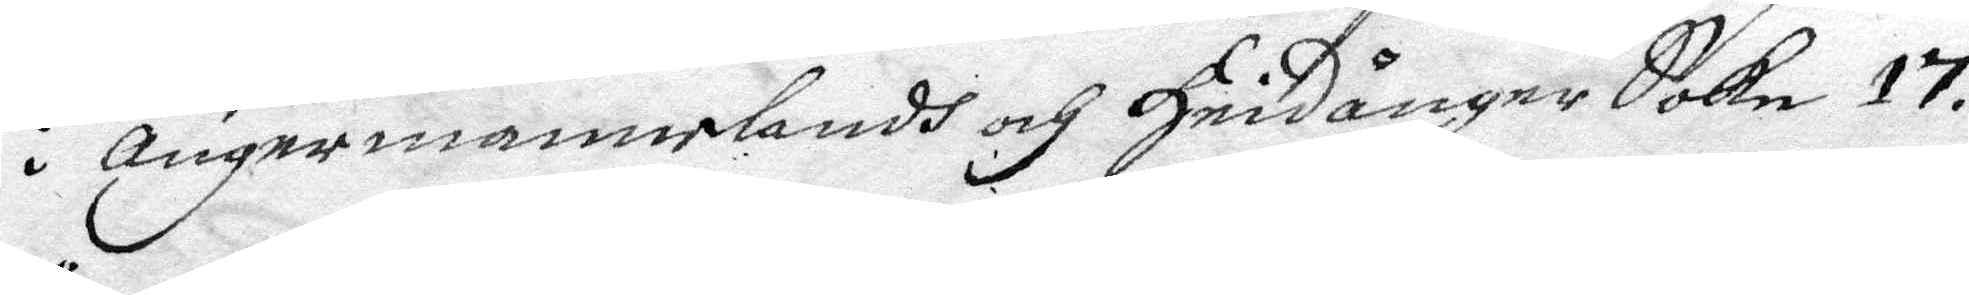i Ångermannelandh och Hnidånger Sokn 17.
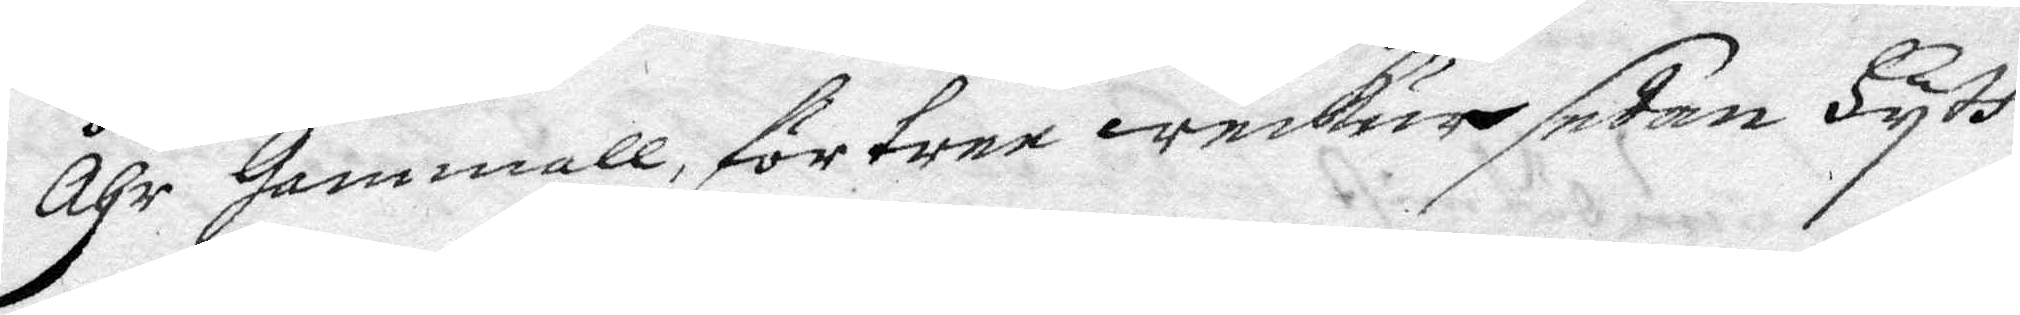åhr Gammall, för tree weckur sedan Hyth
